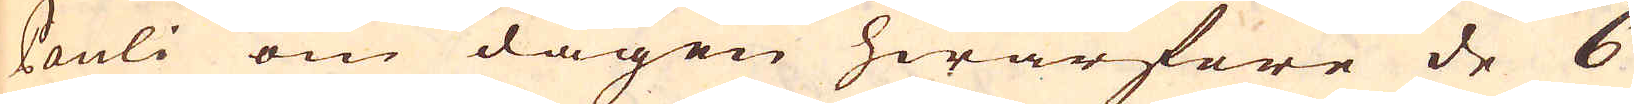Pauli om dagen hwarföre de 6
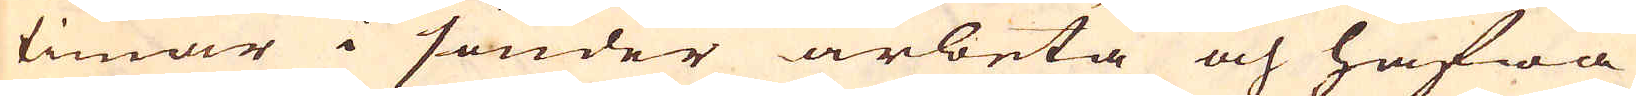timar i sänder arbeta och hafwa
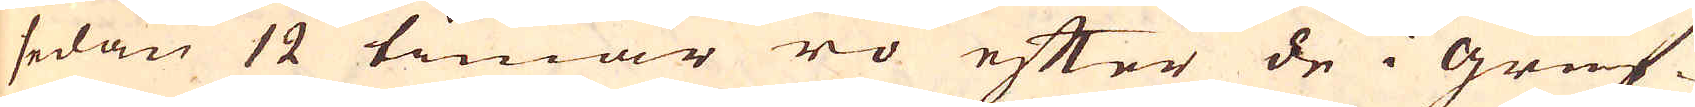sedan 12 timar ro efter de i gruf-
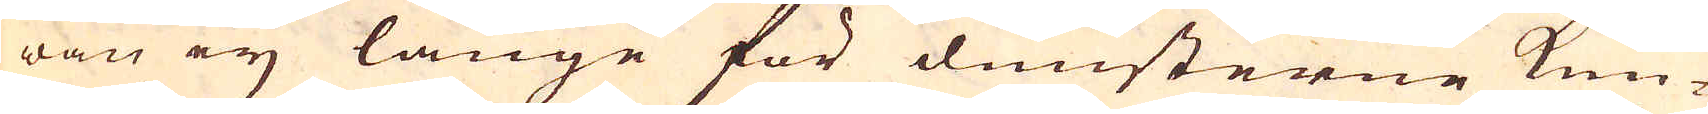wan ey länge för dunsterne kun-
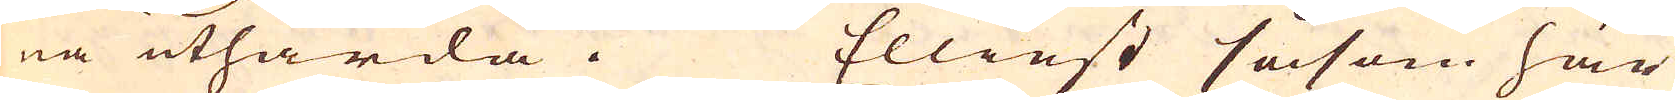na uthärda. Elliest såsom här
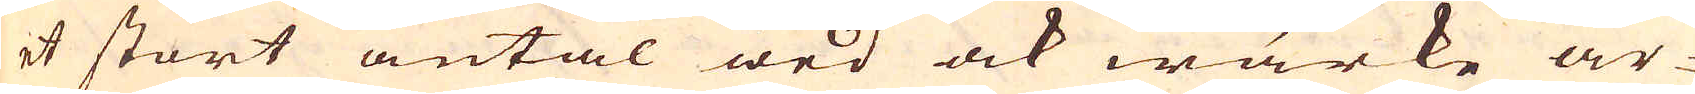et stort antal wed ock wärke år-
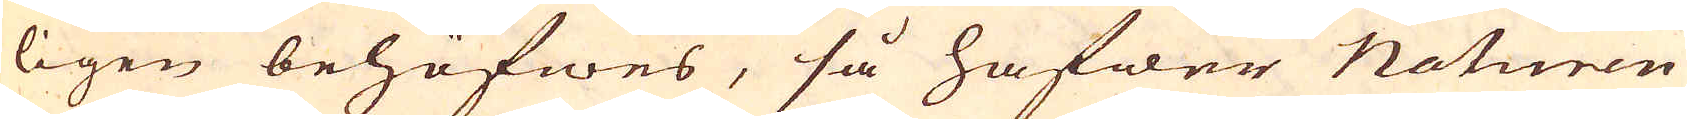ligen behöfwes, så hafwer Naturen
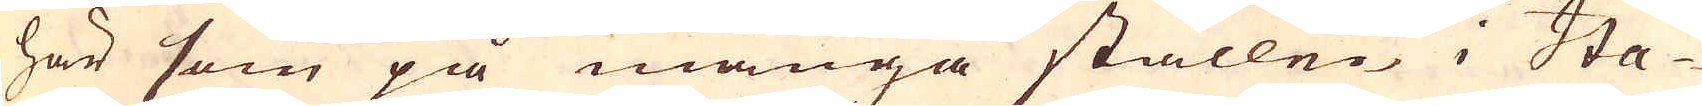här som på många ställen i Ita-
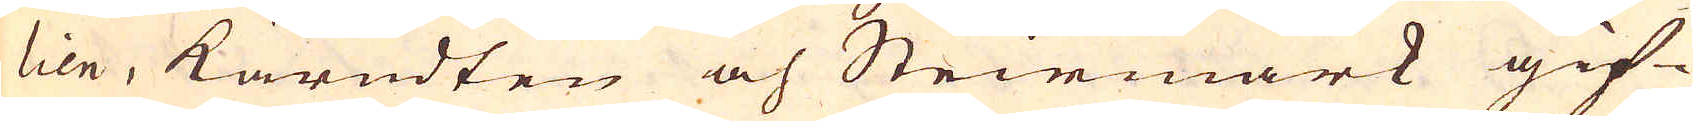lien, Kärndten och Steirmark gif-
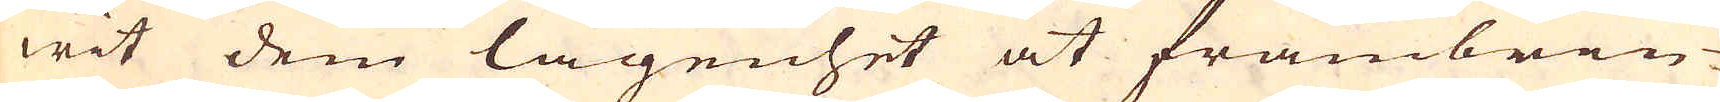wit dem lägenhet at frambrin-
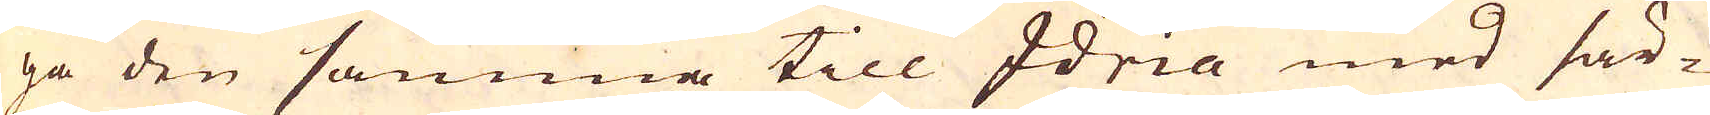ga den samma till Idria med sär-
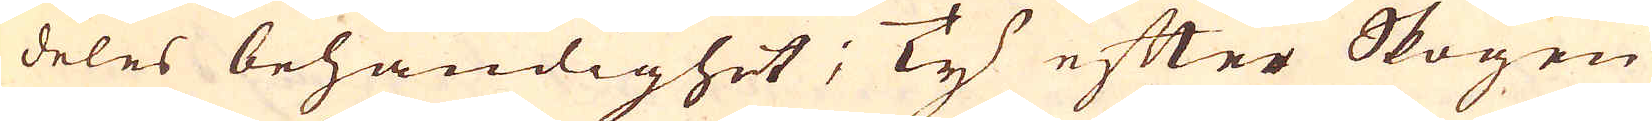deles behändighet; Ty efter Skogen
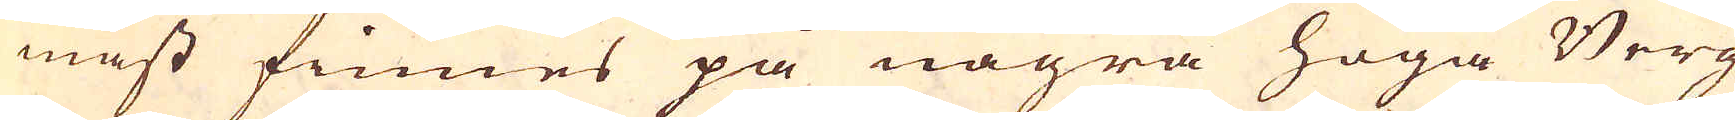mäst finnes på några höga Berg
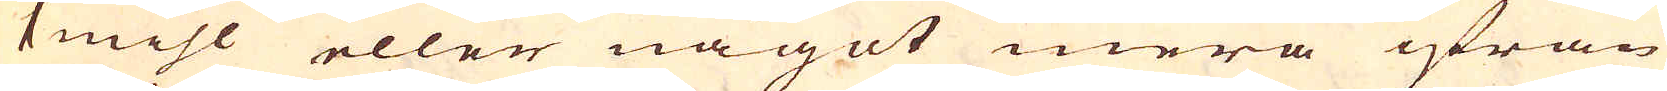1 mihl eller något mera ifrån
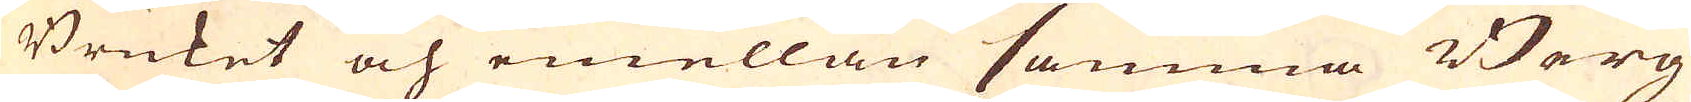Bruket och emellan samma Berg
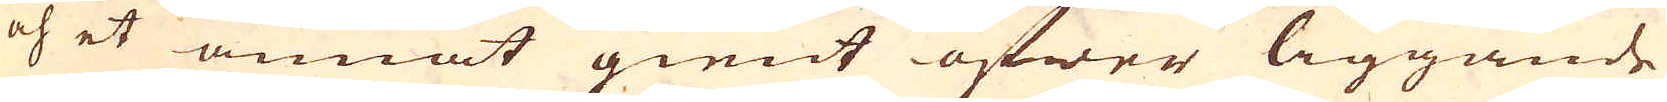och et annat gient öfwer liggande
